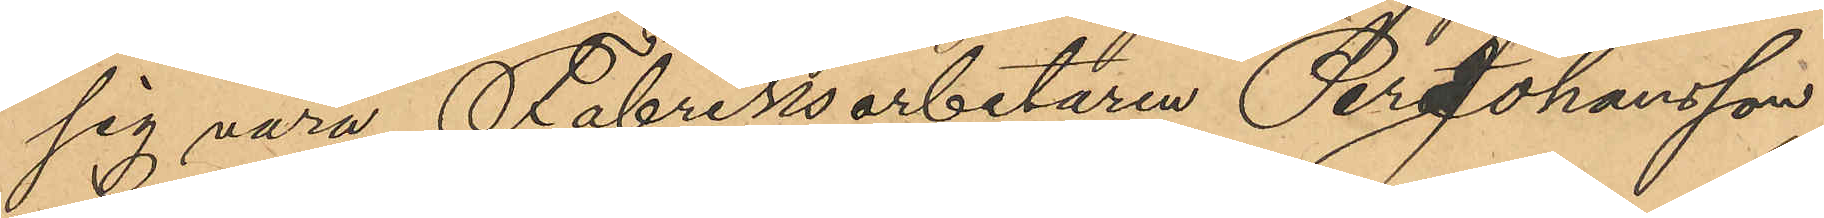sig vara Fabriksarbetaren Per Johansson,
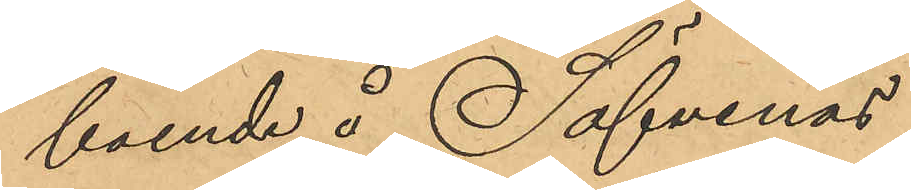boende å Säfvenäs.
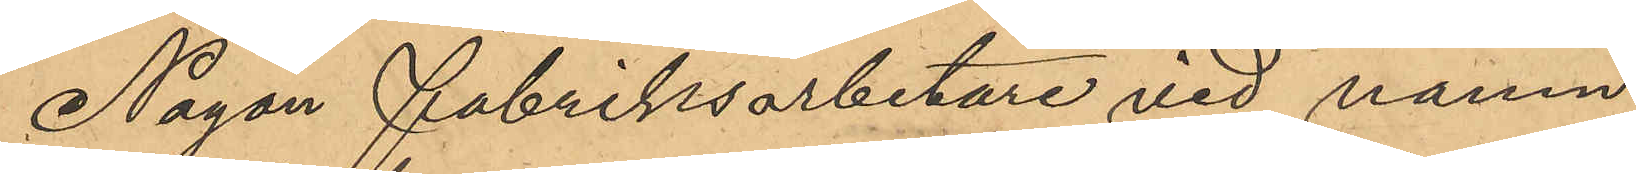Nagon Fabriksarbetare vid namn
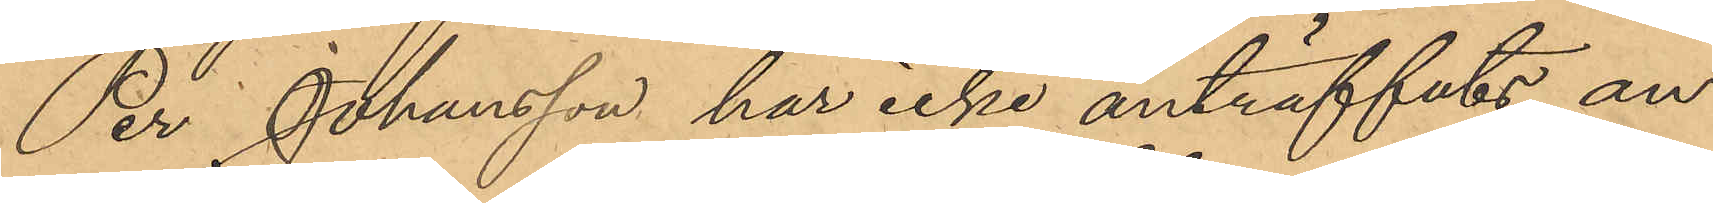Per Johansson har icke anträffats an¬
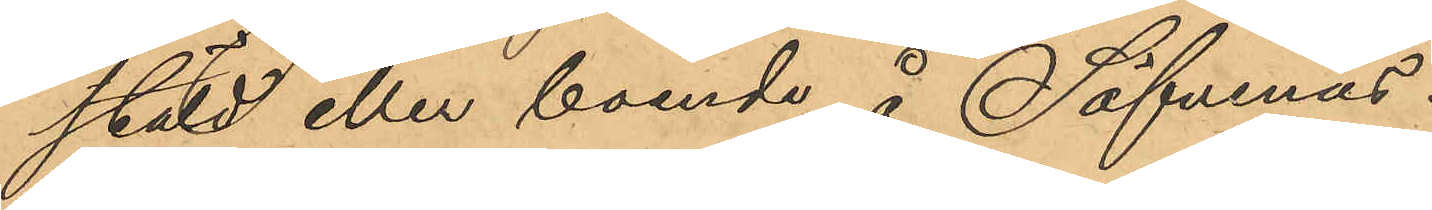stäld eller boende å Säfvenäs.
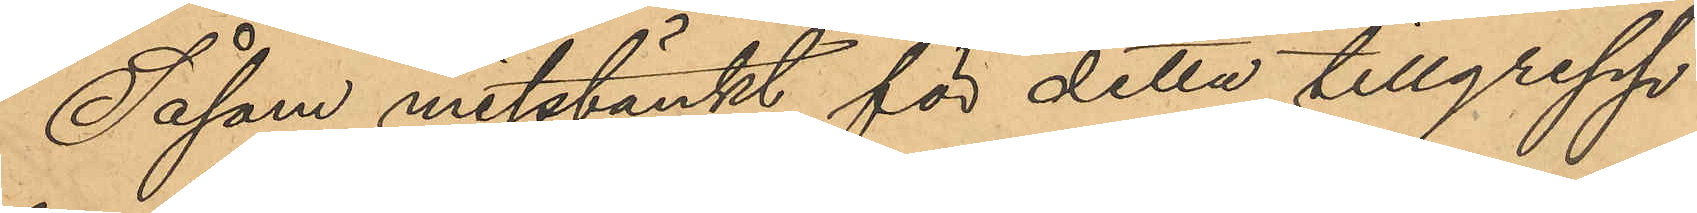Såsom misstänkt för detta tillgrepp
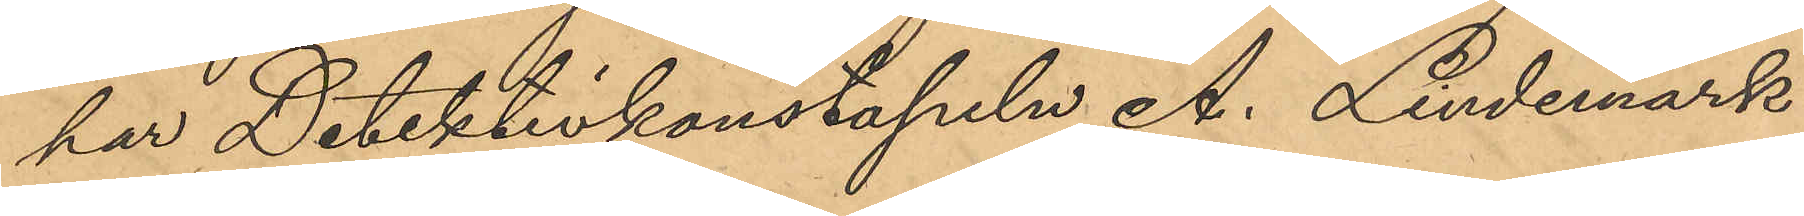har Detektivkonstapeln A. Lindemark
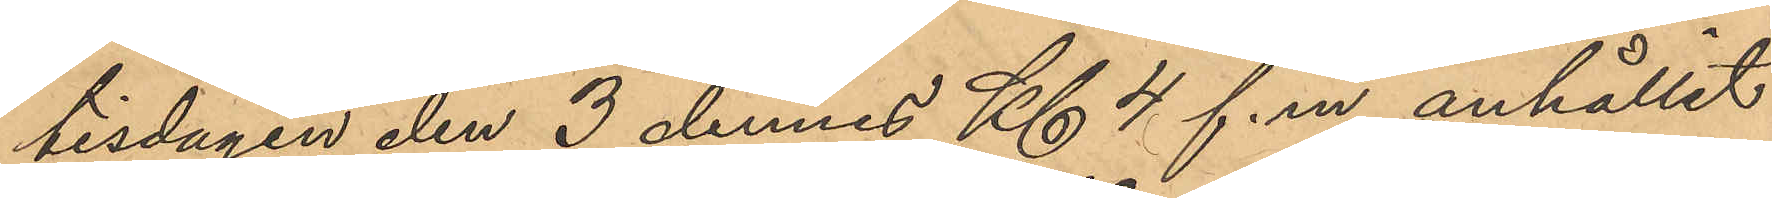tisdagen den 3 dennes Kl 4 f.m. anhållit
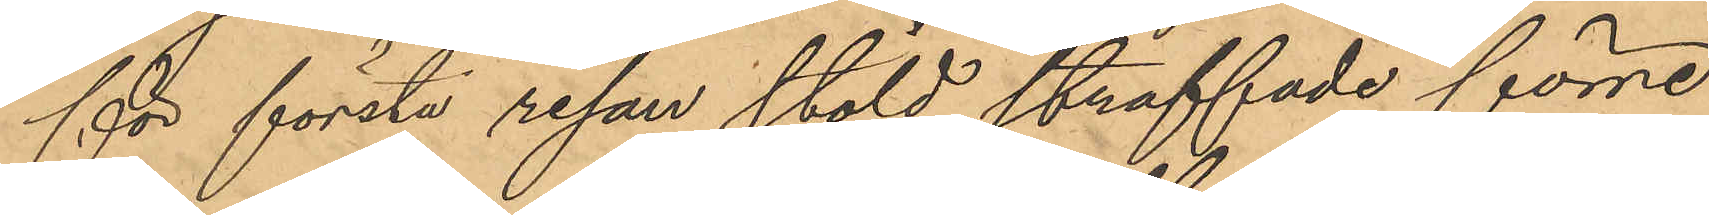för första resan stöld straffade förre
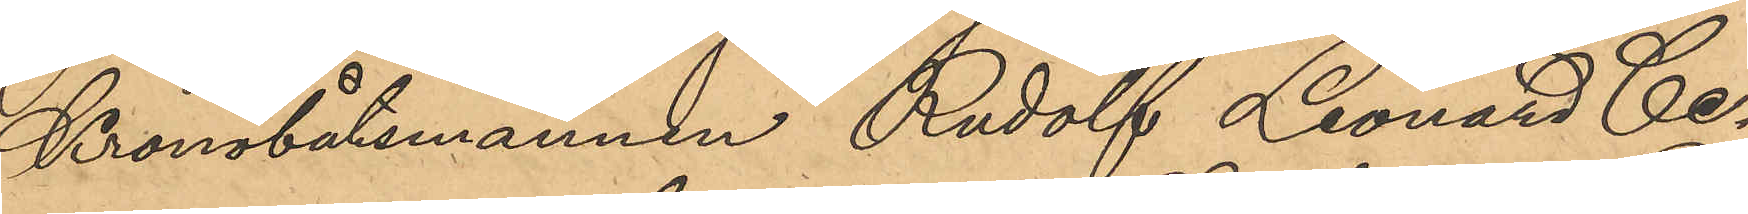Kronobåtsmannen Rudolf Leonard Ce¬
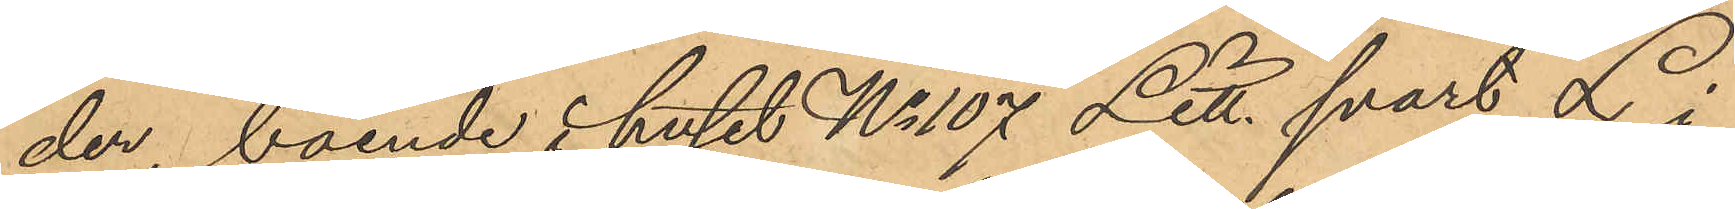der, boende i huset No 107 Litt. svart L i
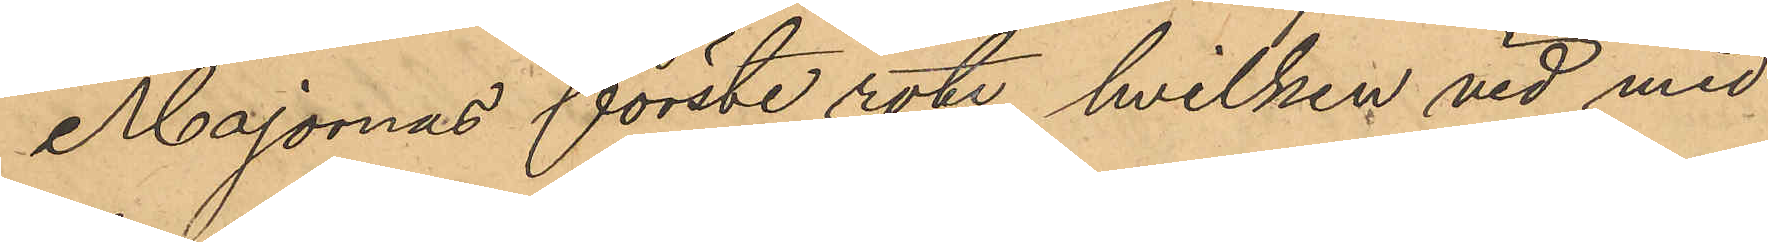Majornas förste rote, hvilken vid med
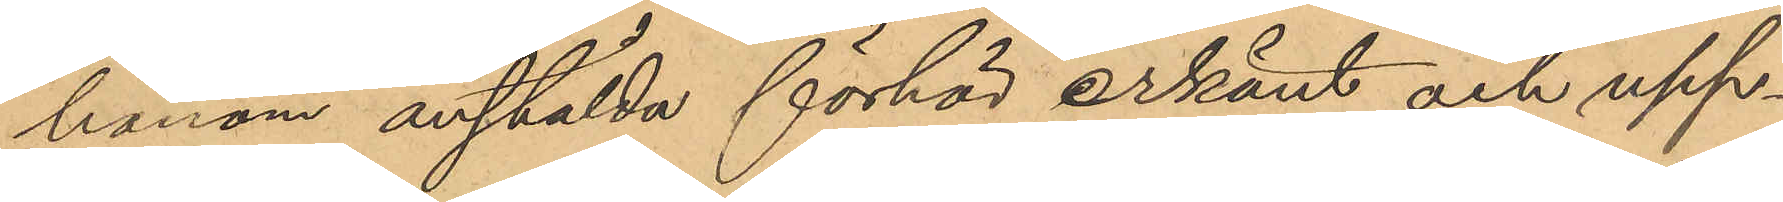honom anstälda förhör erkänt och upp¬
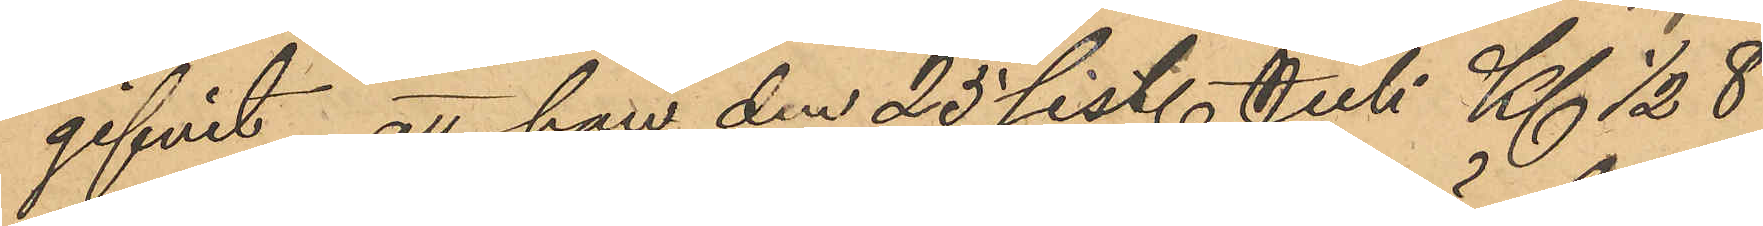gifvit, att han den 25 sist. Juli Kl ½ 8
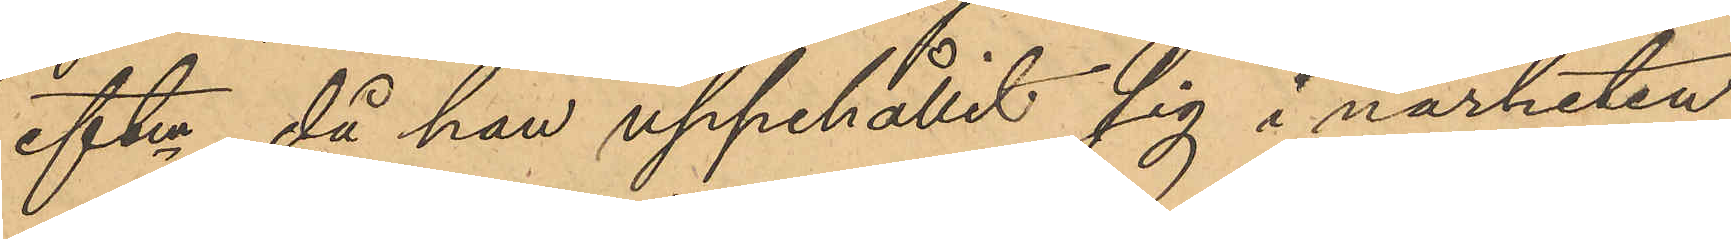eftm, då han uppehållit sig i närheten
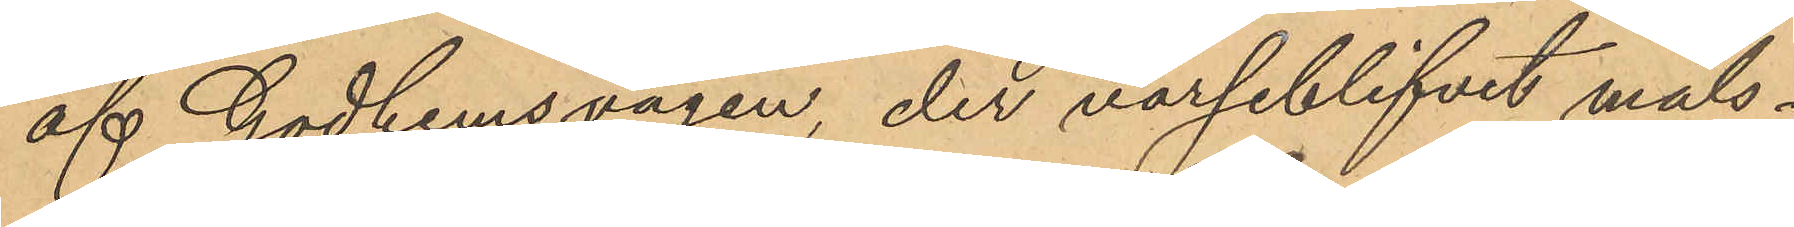af Godhemsvägen, der varseblifvit måls¬
